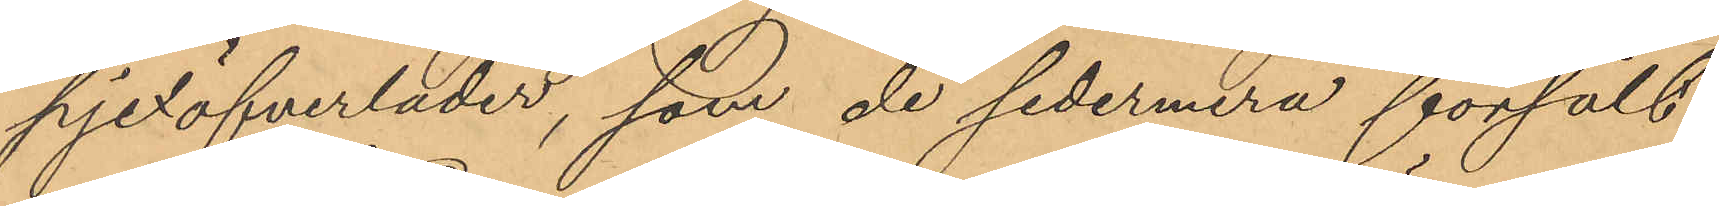pjexöfverläder, som de sedermera försålt;
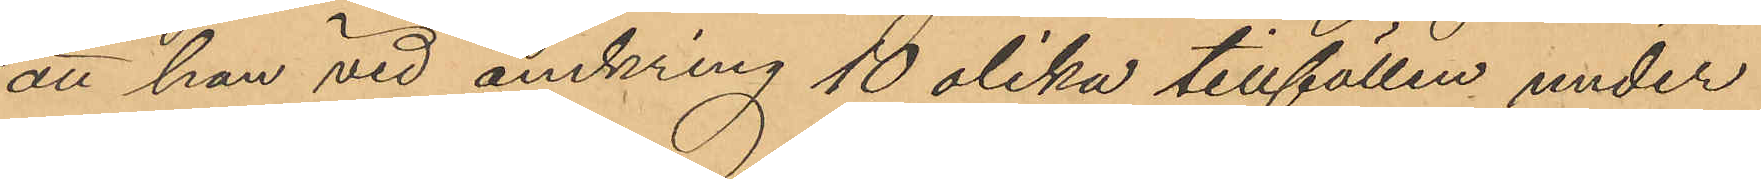att han vid omkring 10 olika tillfällen under
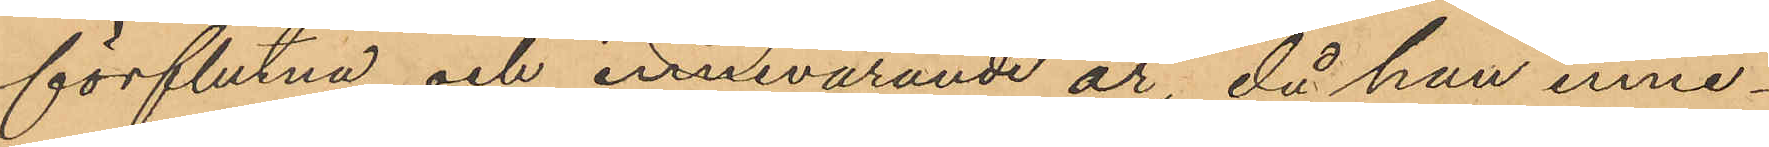förflutna och innevarande år, då han inne¬
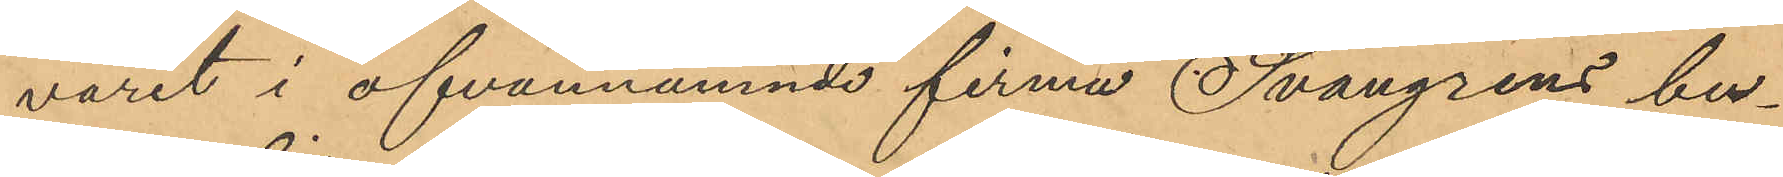varit i ofvannämnde firma Svangrens bu¬
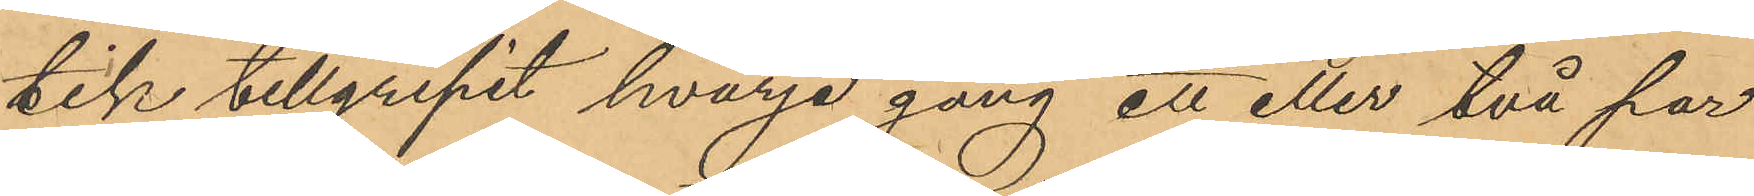tik tillgripit hvarje gång ett eller två par
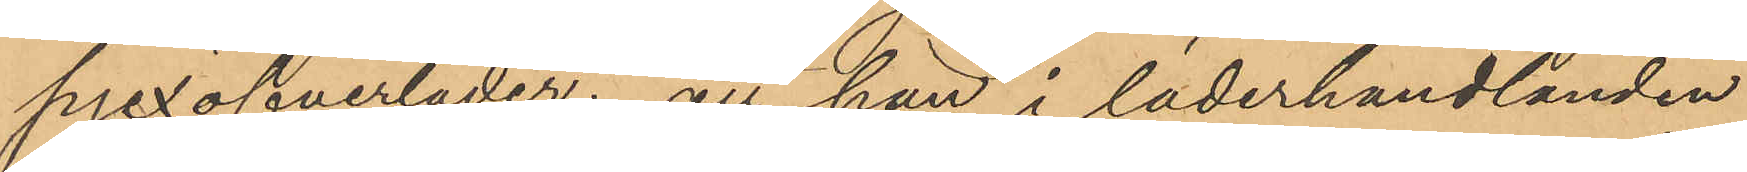pjexöfverläder; att han i läderhandlanden
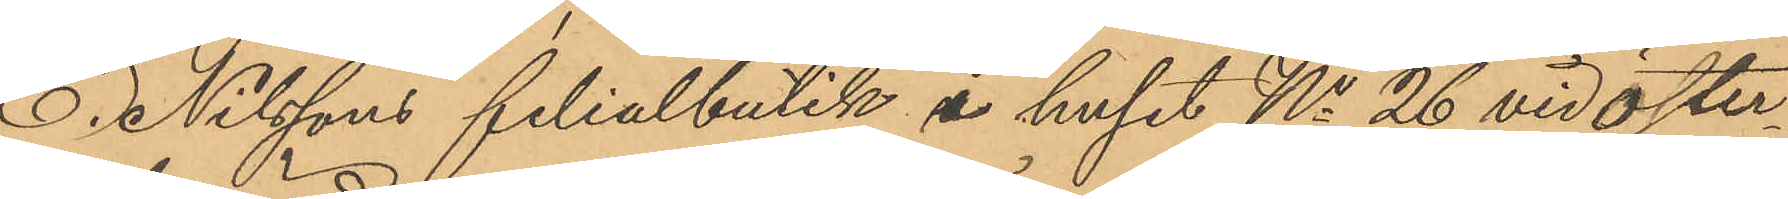O. Nilssons filialbutik å huset No 26 vid Öster¬
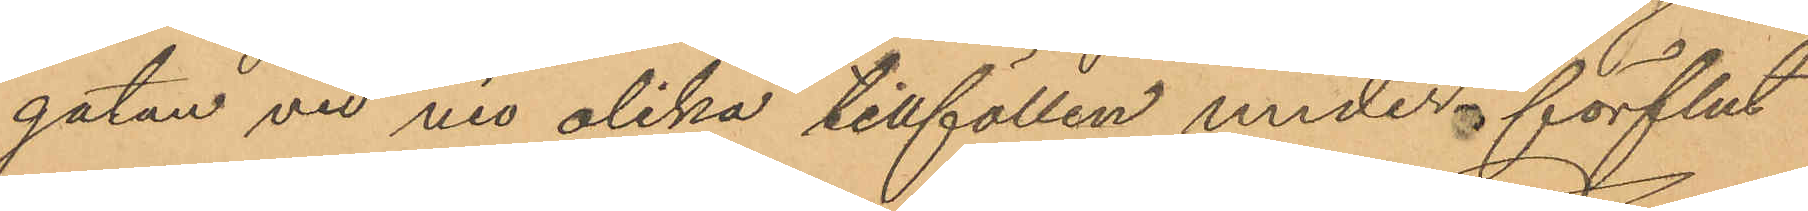gatan vid nio olika tillfällen under förflut¬
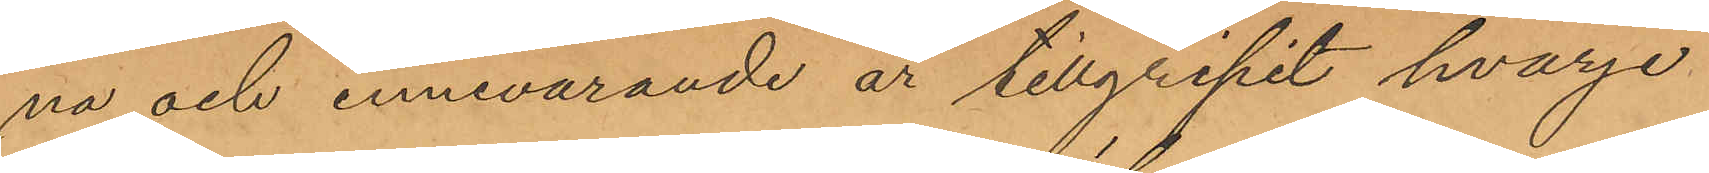na och innevarande år tillgripit hvarje
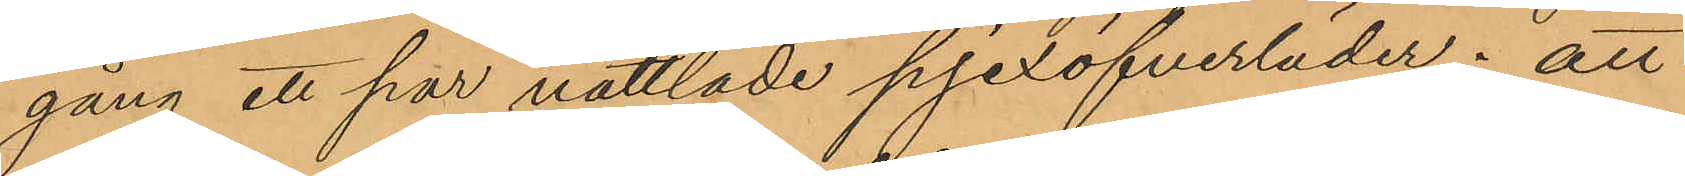gång ett par nåttlade pjexöfverläder; att
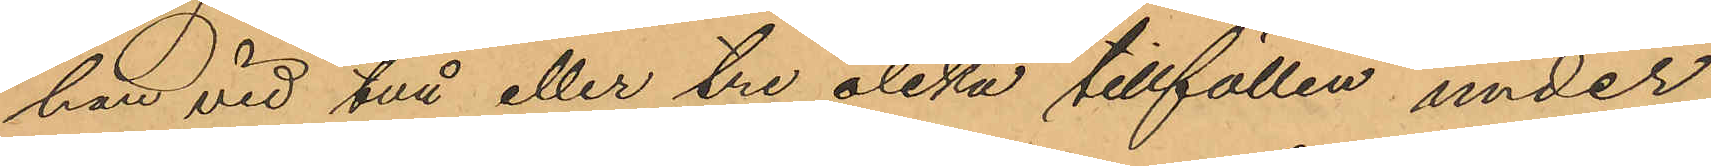han vid två eller tre olika tillfällen under
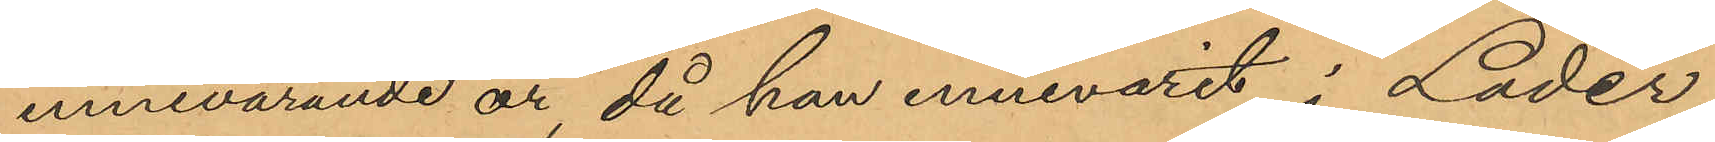innevarande år, då han innevarit i Läder¬
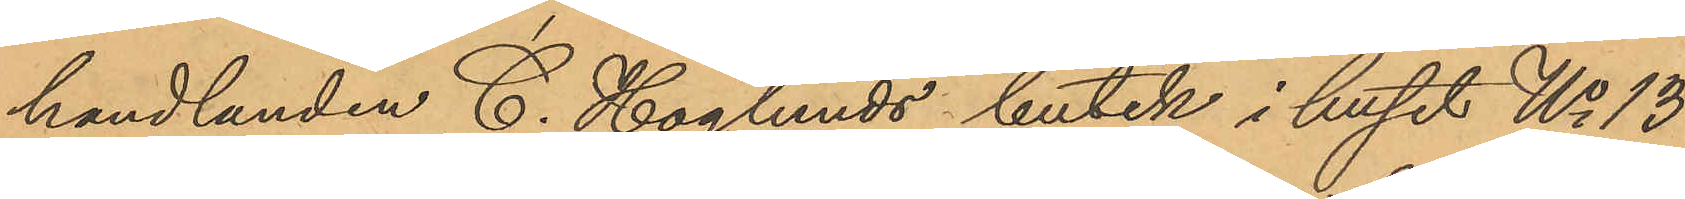handlanden C. Hoglunds butik i huset No 13
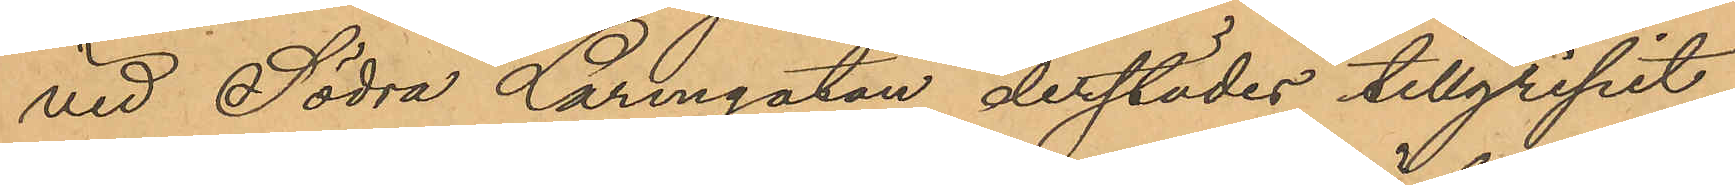vid Södra Larmgatan derstädes tillgripit
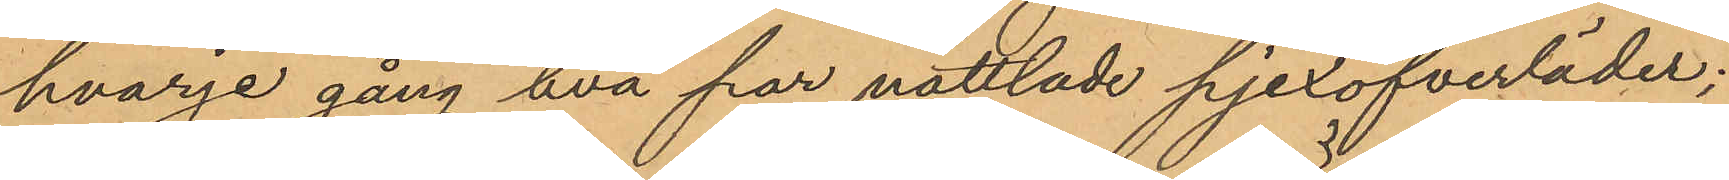hvarje gång två par nåttlade pjexöfverläder;
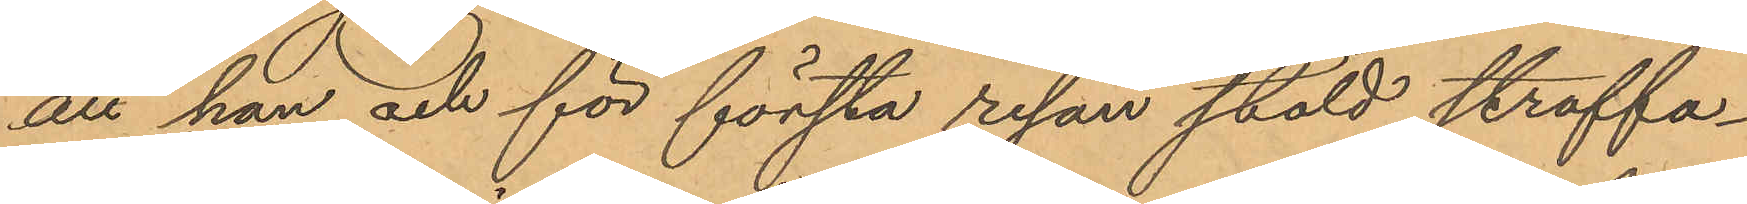att han och för första resan stöld straffa¬
